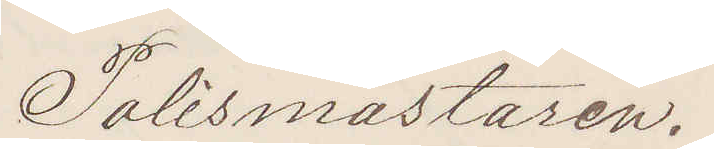Polismästaren.
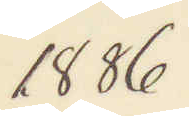1886.
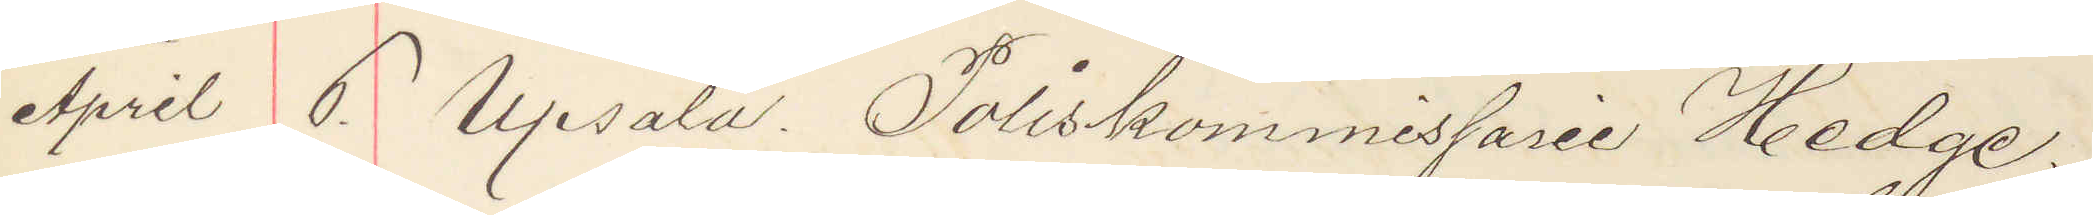April 6. Upsala. Poliskommissarie Hedge
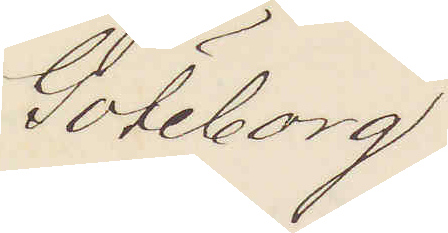Göteborg
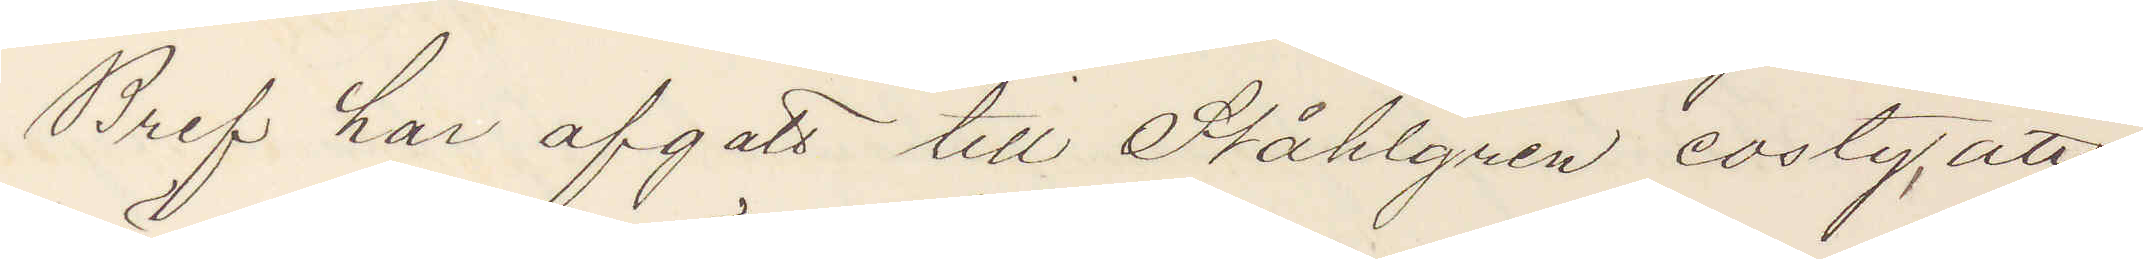Bref har afgått till Ståhlgren eosty, att
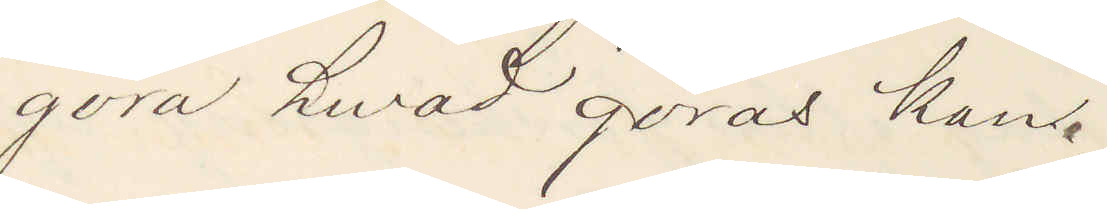göra hwad göras kan.
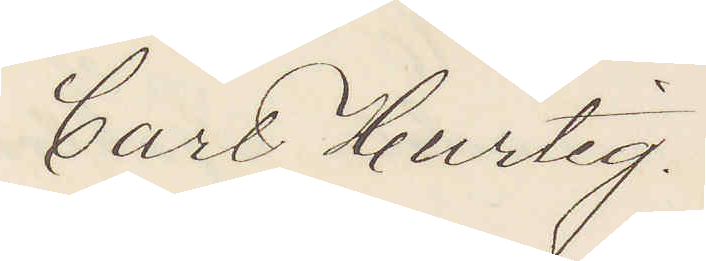Carl Hurtig.
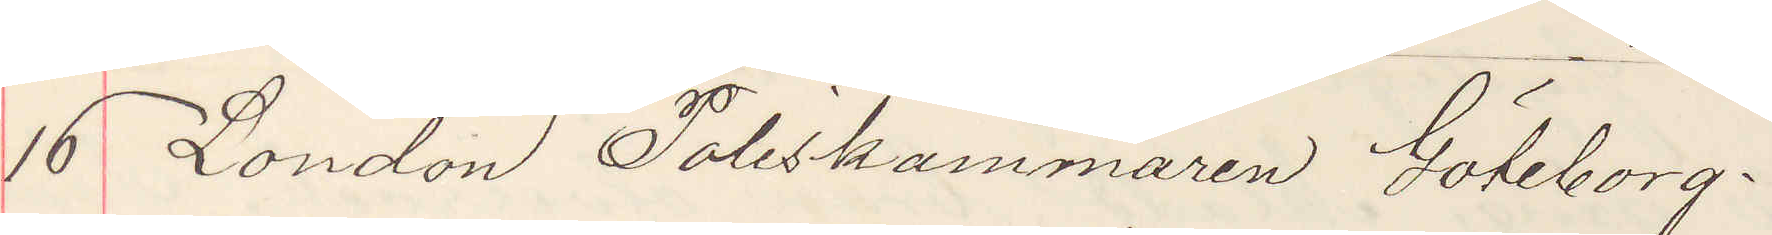16 London Poliskammaren Göteborg.
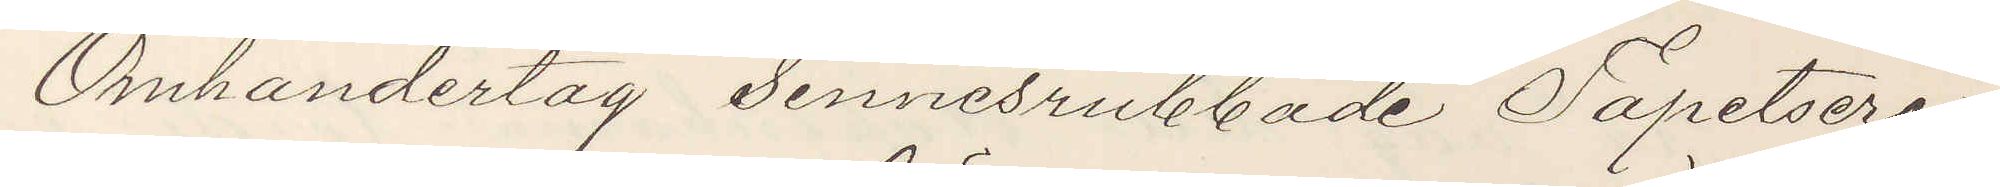Omhandertag Sinnesrubbade Tapetsera¬
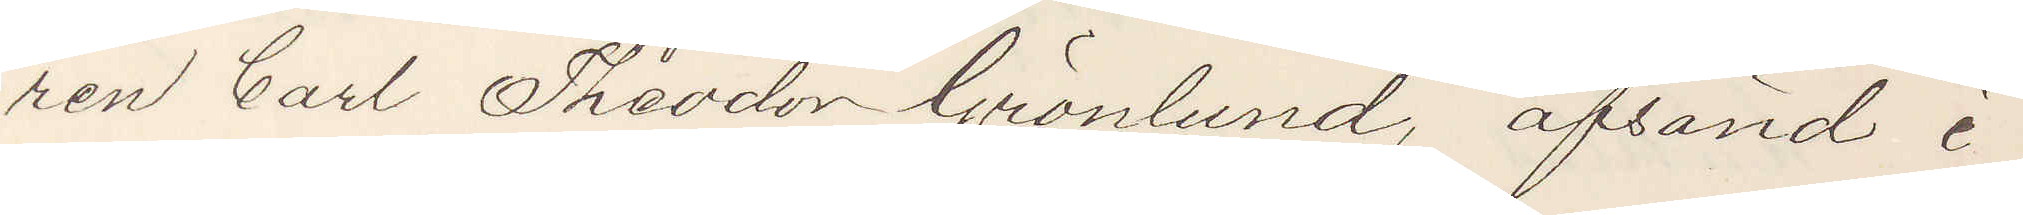ren Carl Theodor Grönlund, afsänd i
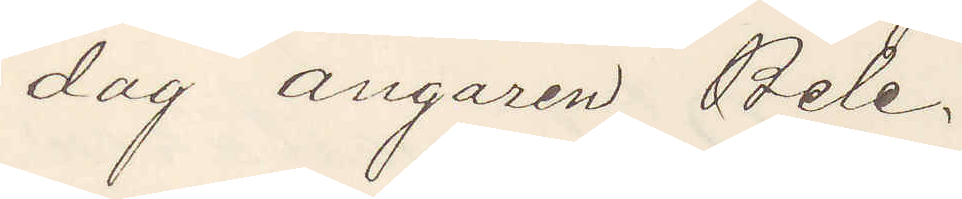dag ångaren Bele.
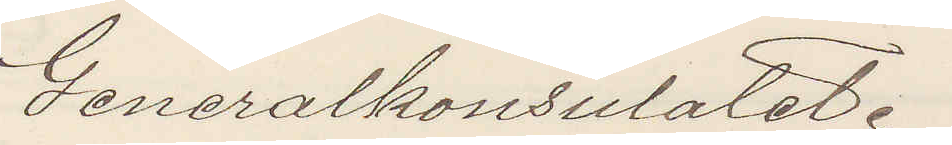Generalkonsulatet.
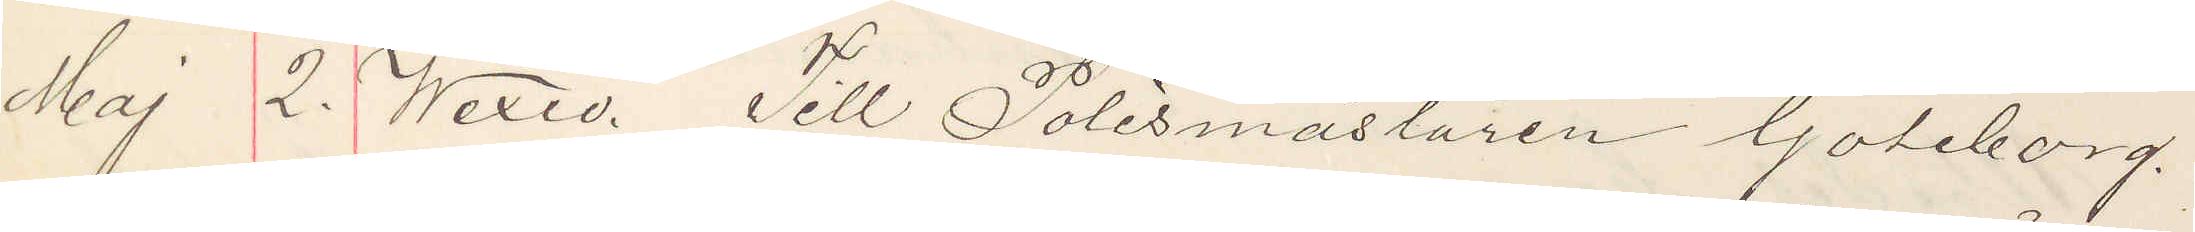Maj 2. Wexiö. Till Polismästaren Göteborg.
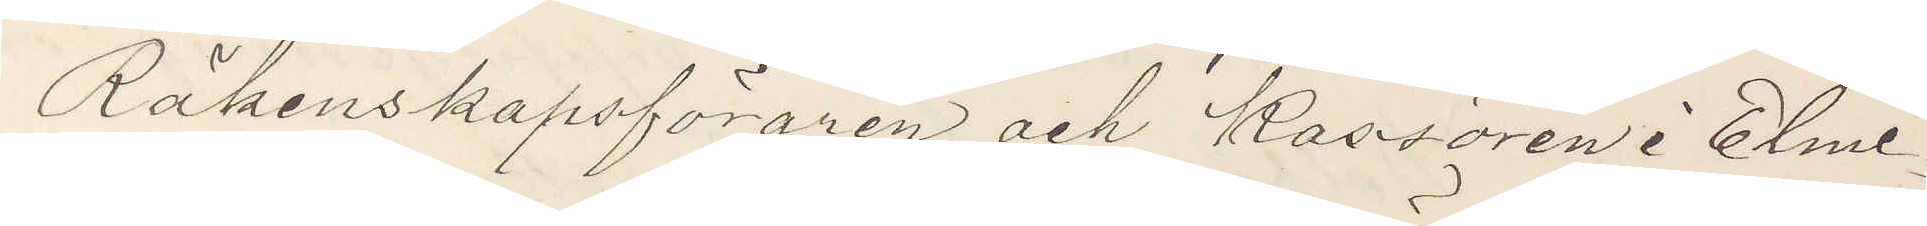Räkenskapsföraren och Kassören i Elme¬
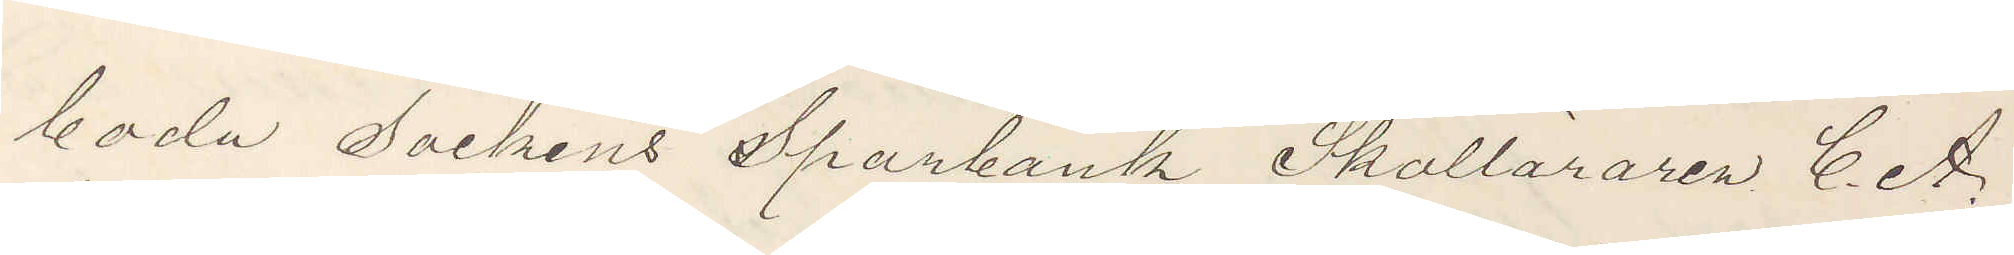boda Sockens Sparbank Skolläraren C. A.
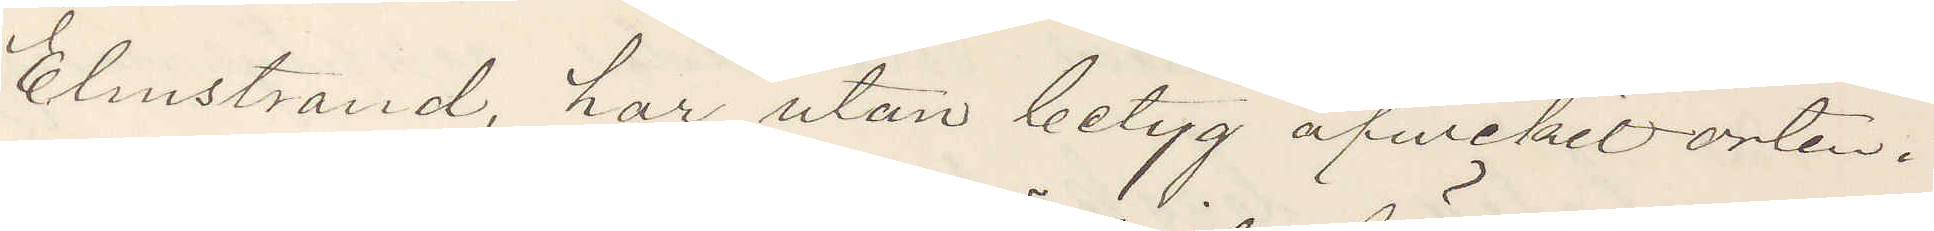Elmstrand, har utan betyg afvikit orten.
